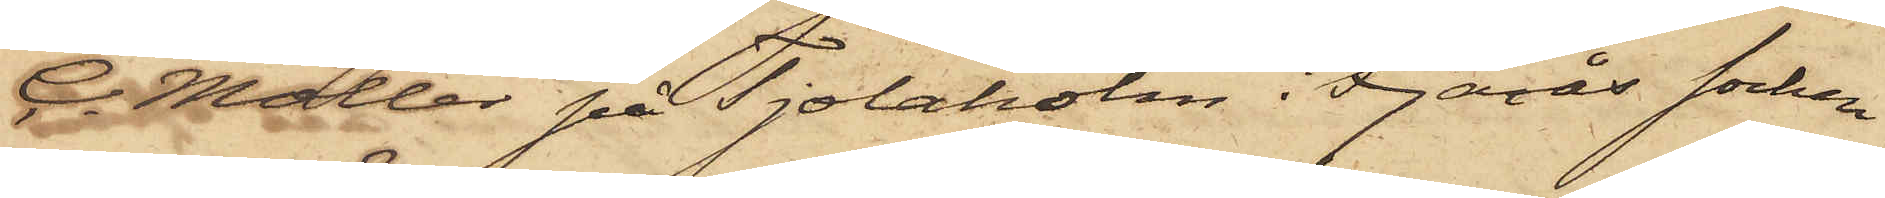C. Möller på Tjolaholm i Fjärås socken
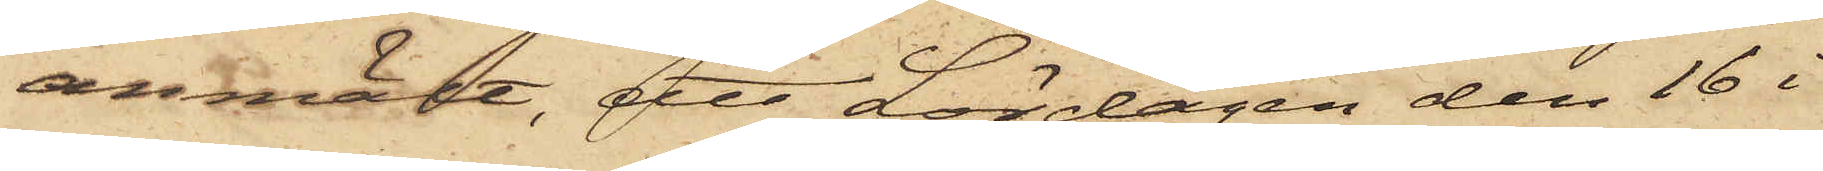anmält, att Lördagen den 16 i
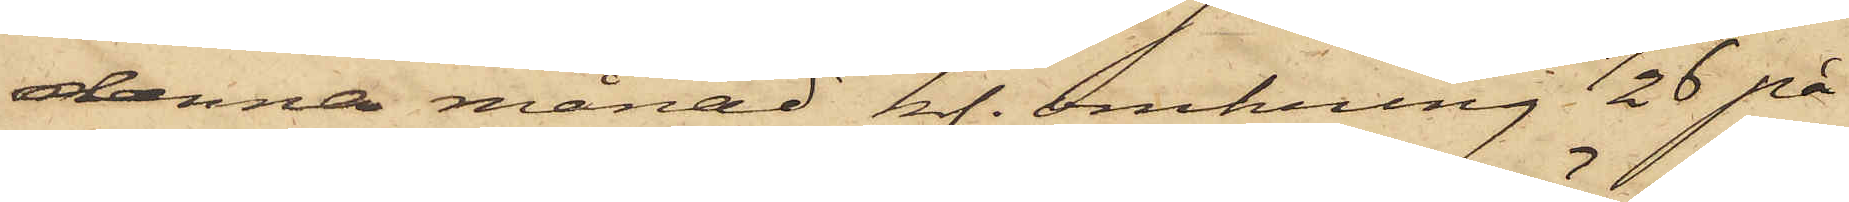denna månad kl. omkring 1/2 6 på
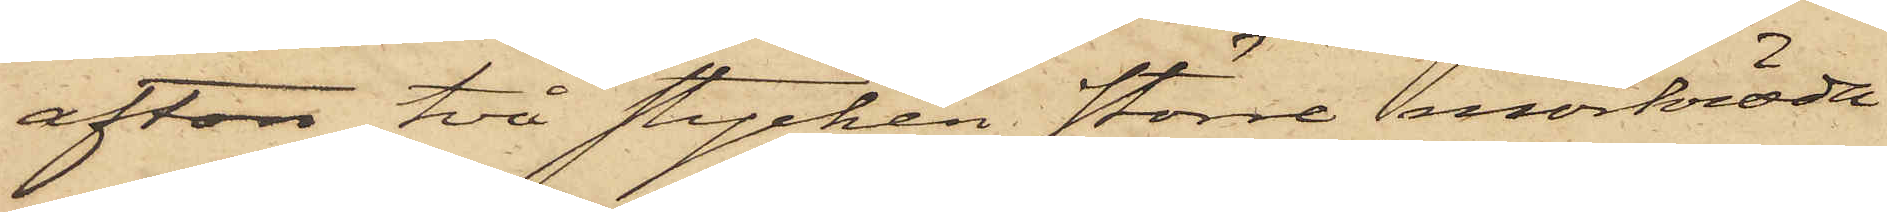afton två stycken större mörkröda
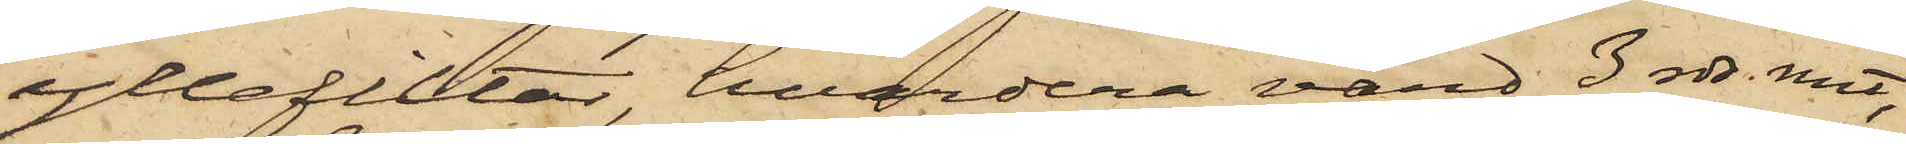yllefiltar, hvardera värd 3 rdr. rmt,
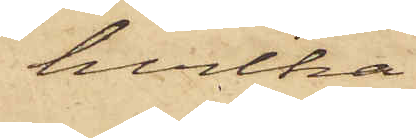hvilka
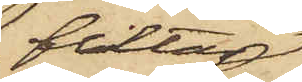filtar
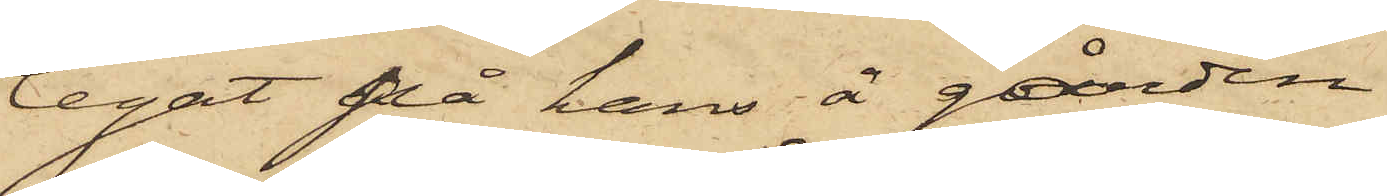legat då hans å gården
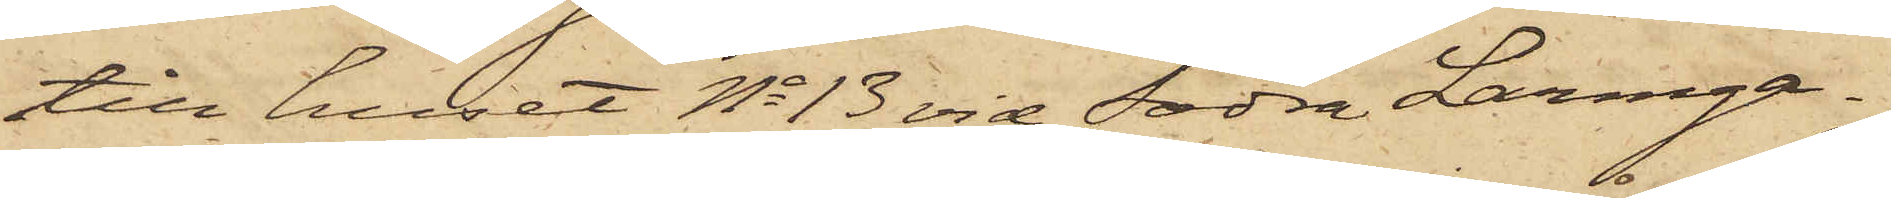till huset No 13 vid Södra Larmga¬
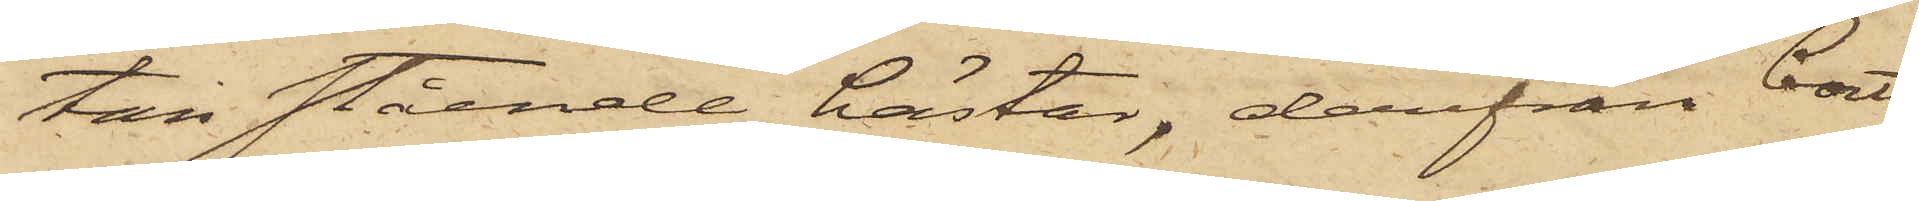tan stående hästar, därifrån bort¬
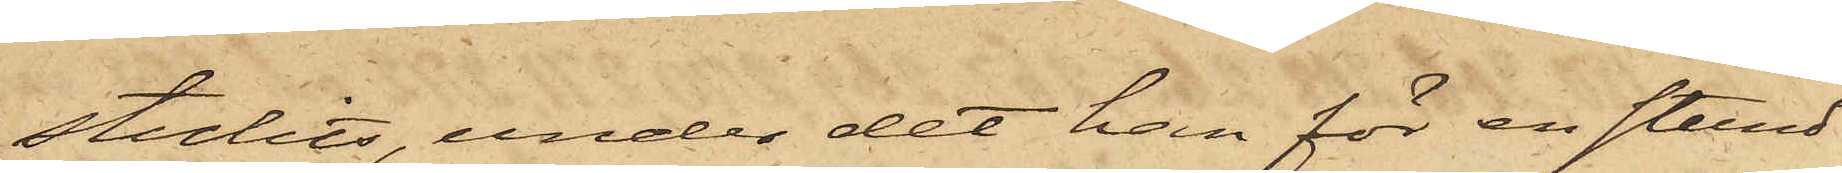stulits, under det han för en stund
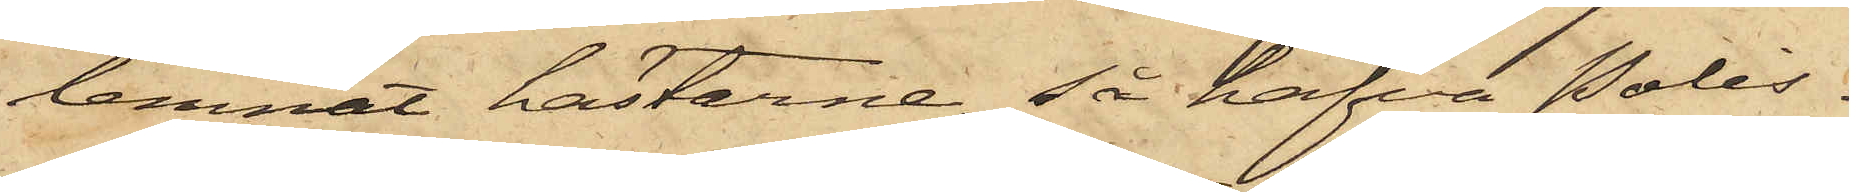lemnat hästarne, så hafva Polis¬
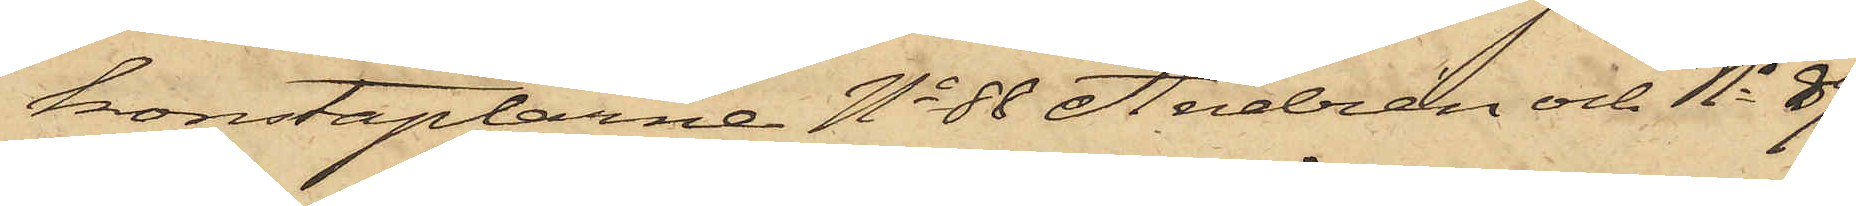konstaplarne No 88 Andrén och No 89
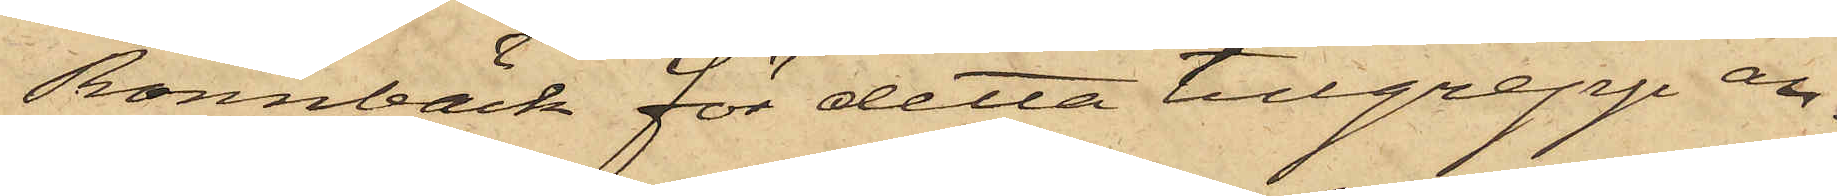Rönnbäck för detta tillgrepp an¬
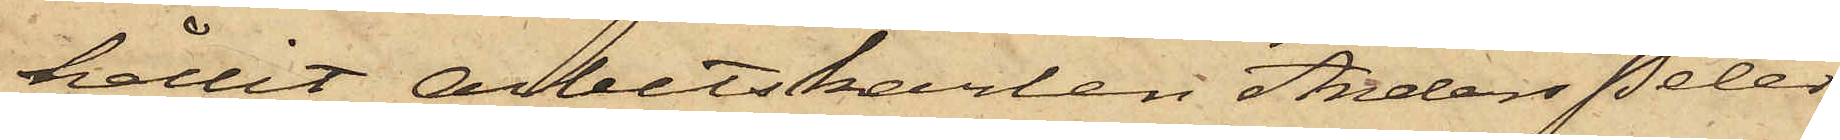hållit arbetskarlen Anders Peter
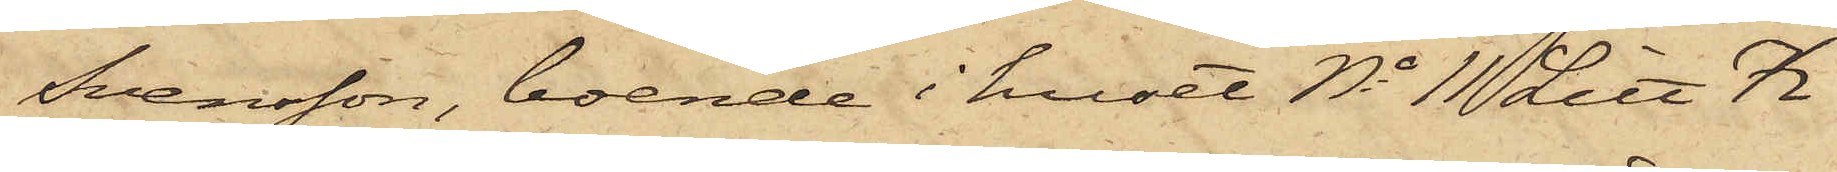Svensson, boende i huset No 11 Litt K
